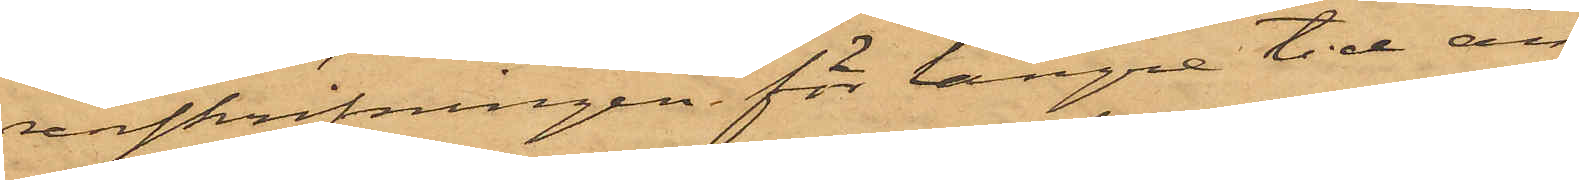renskrifningen för längre tid än
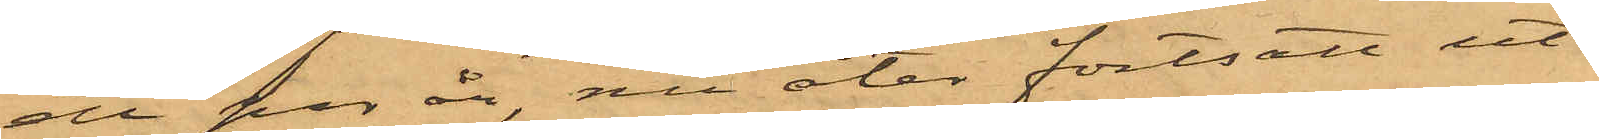ett par år, nu åter fortsatt ut¬
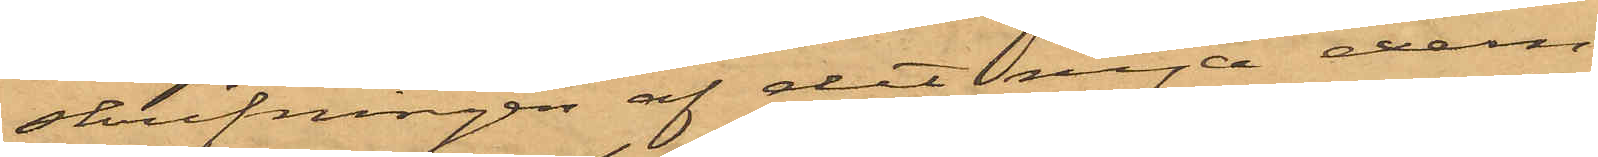skrifningen af det nya exem¬
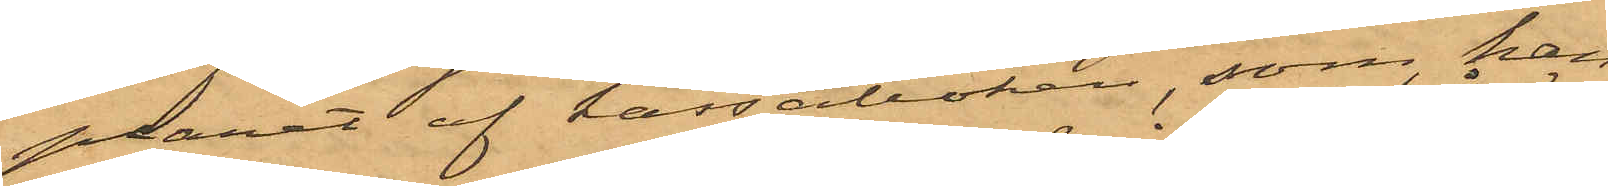plaret af kassaboken, som han
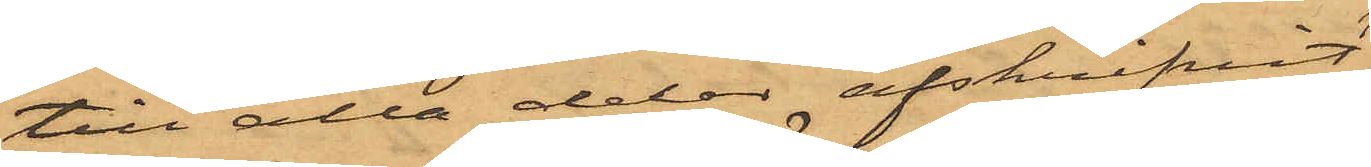till alla delar afskrifvit
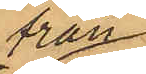från
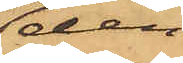den
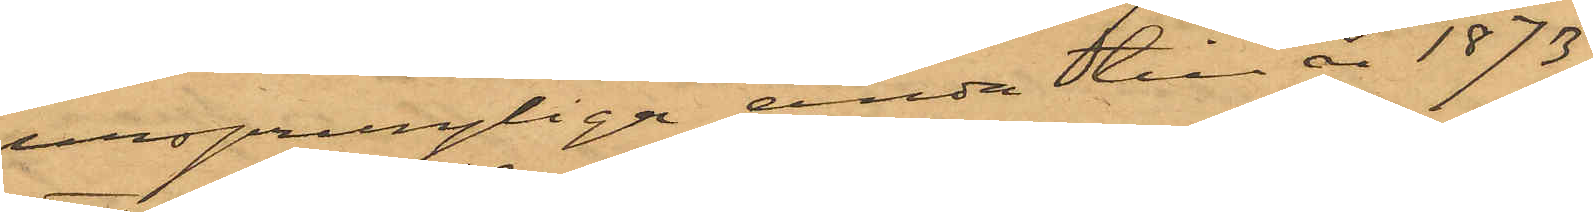ursprungliga ända till år 1873;
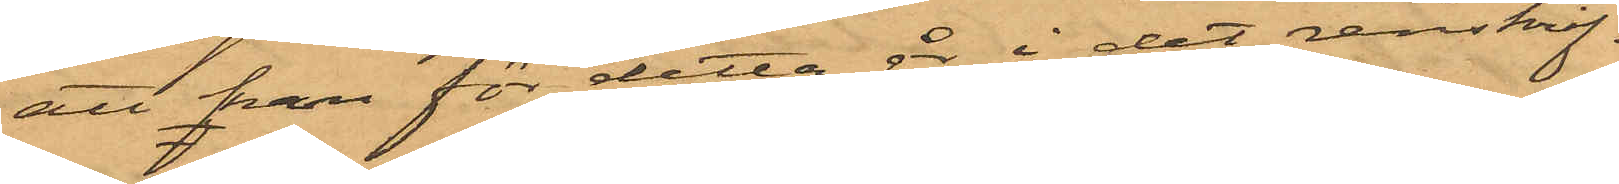att han för detta år i det renskrif¬
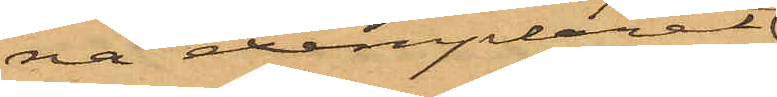na exemplaret
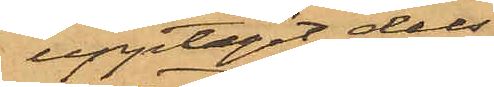upptagit dels
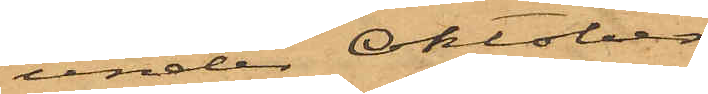under Oktober
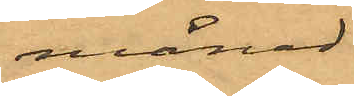månad
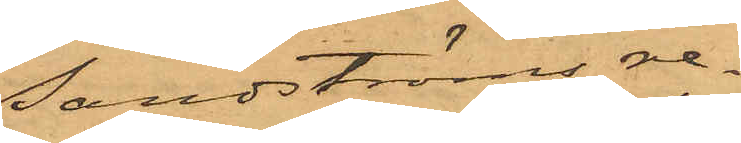Sandströms re¬
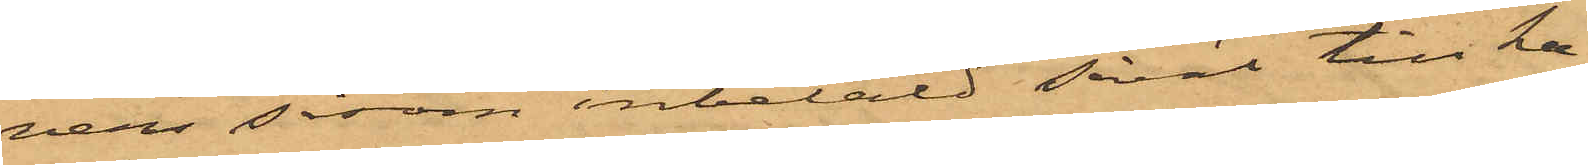vers såsom inbetald såväl till ka¬
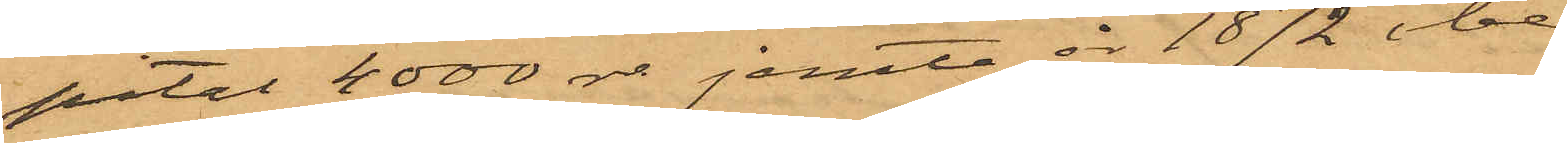pital 4000 rdr jemte år 1872 obe¬
